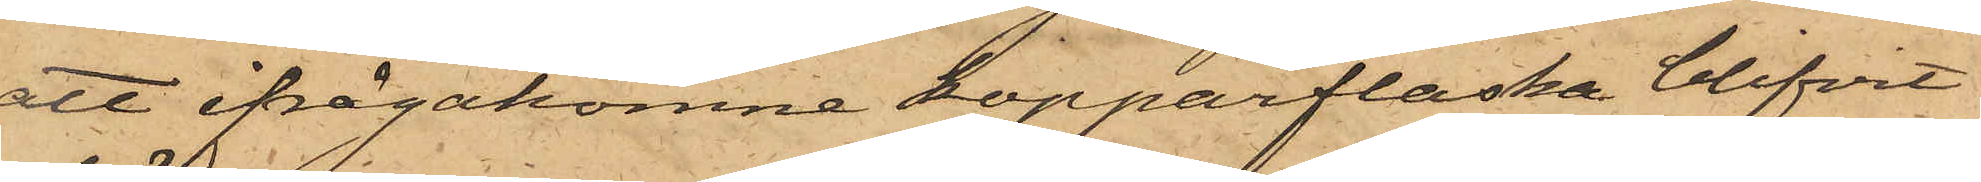att ifrågakomne kopparflaska blifvit
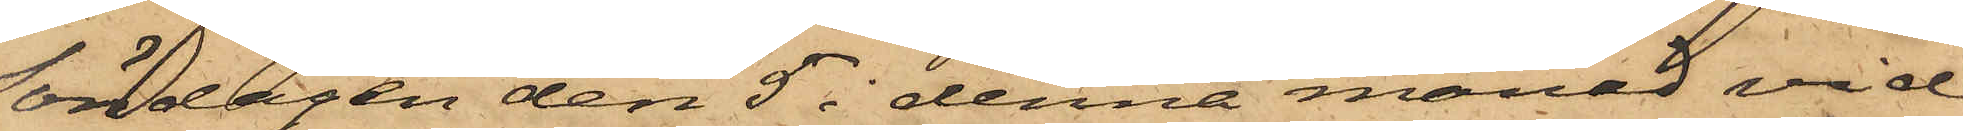Söndagen den 5 i denna månad vid
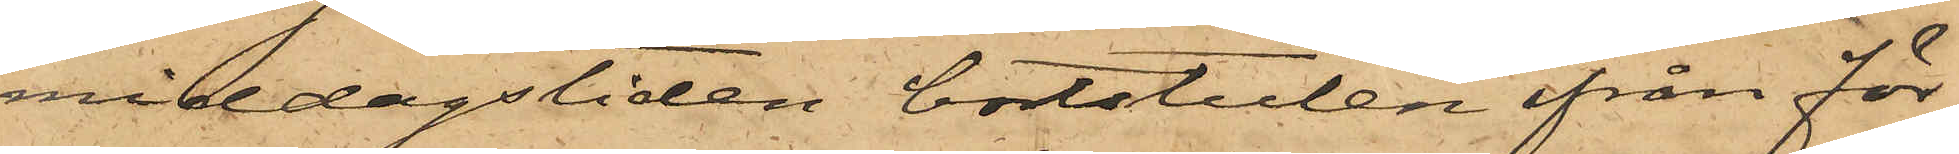middagstiden bortstulen ifrån för¬
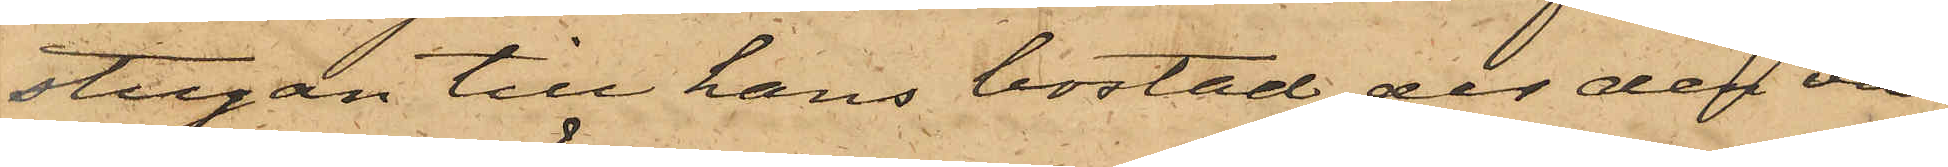stugan till hans bostad, der den va¬
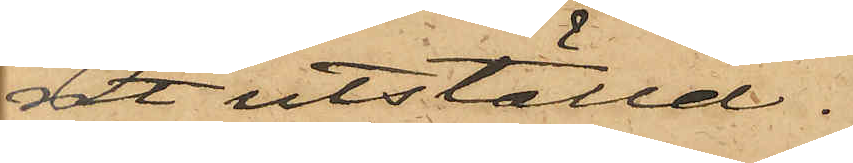rit utställd.
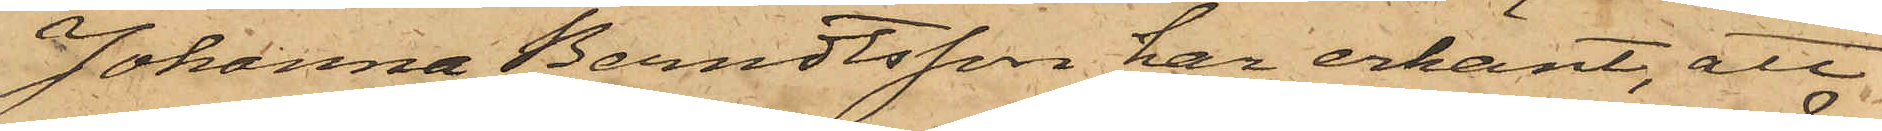Johanna Berndtsson har erkänt, att
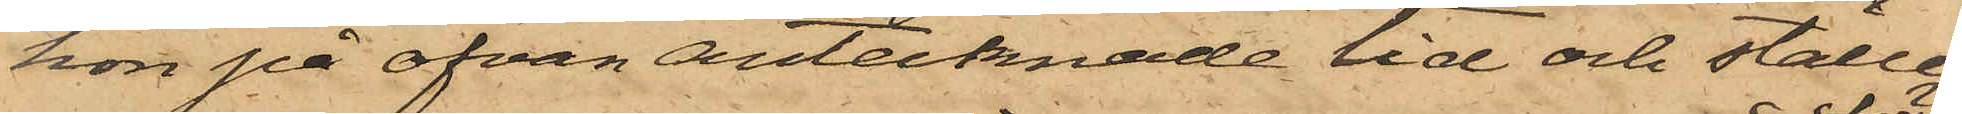hon på ofvan antecknade tid och ställe
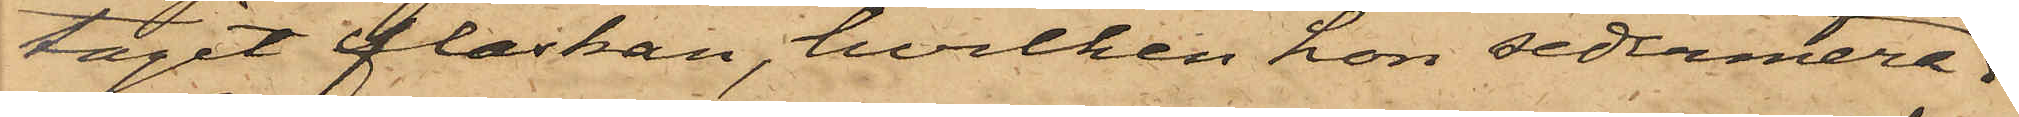tagit flaskan, hvilken hon sedermera
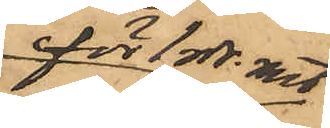för 1 rdr. rmt
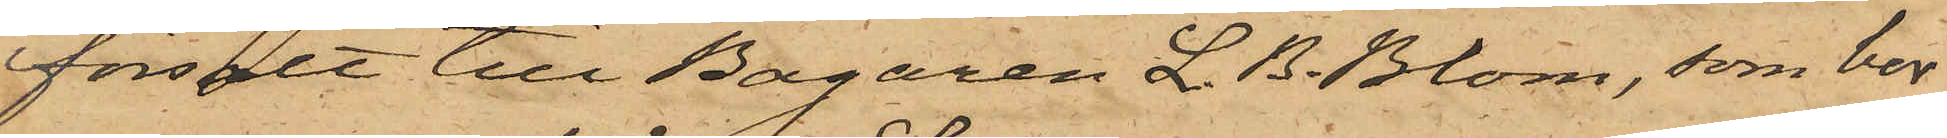försålt till Bagaren L. B. Blom, som bor
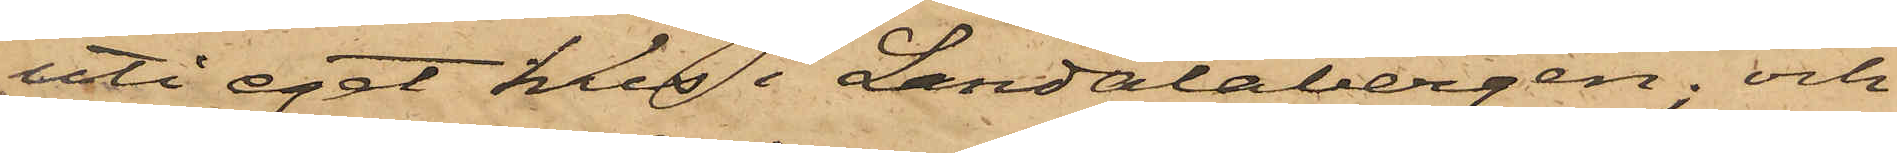uti eget hus i Landalabergen; och
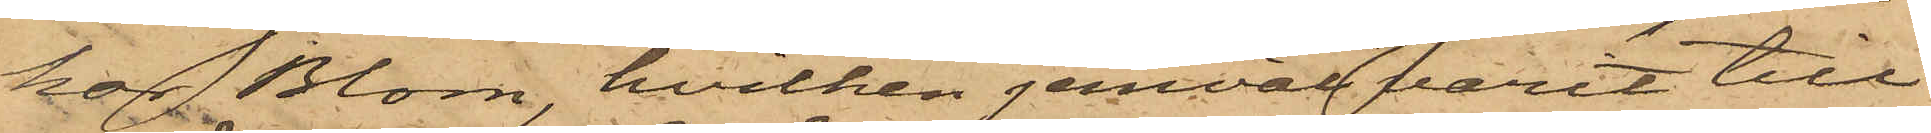har Blom, hvilken jemväl varit till
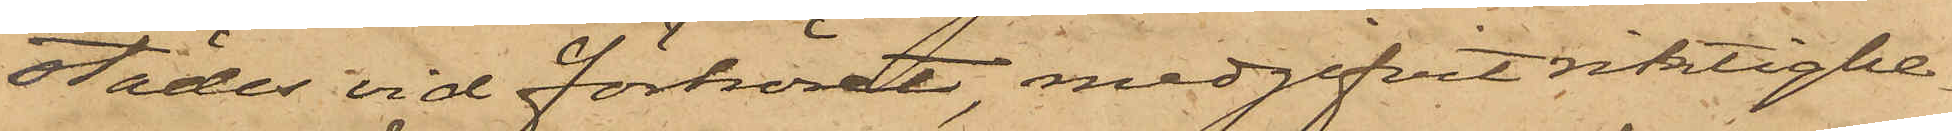städes vid förhöret, medgifvit riktighe¬
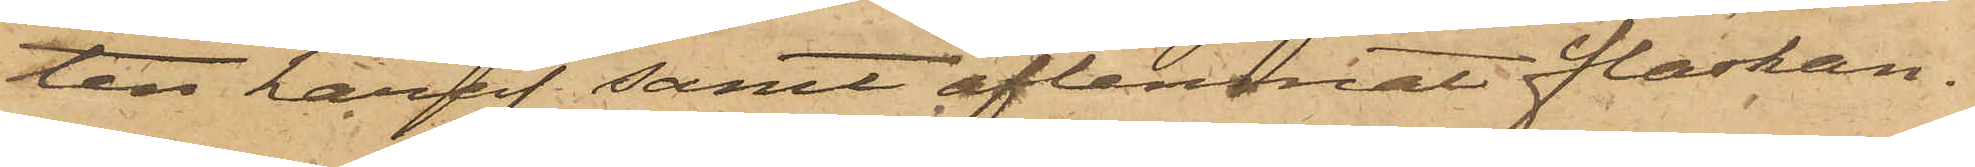ten häraf samt aflemnat flaskan.
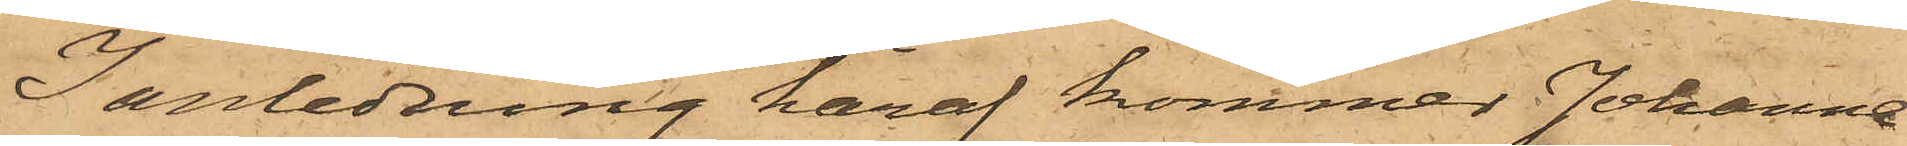I anledning häraf kommer Johanna
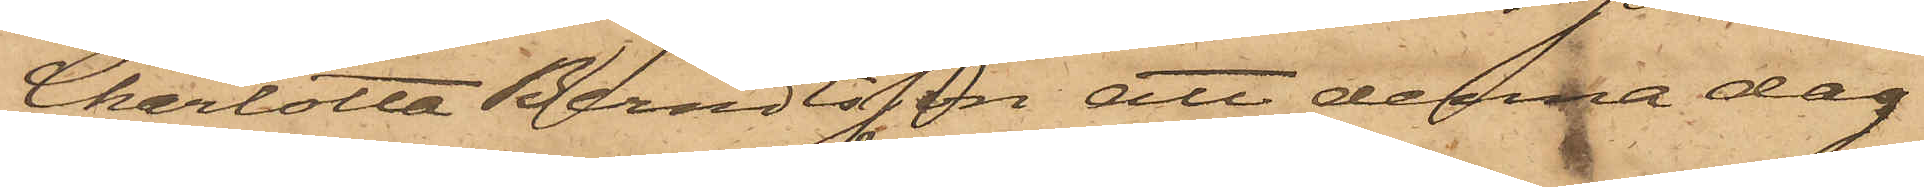Charlotta Berndtsson att denna dag
